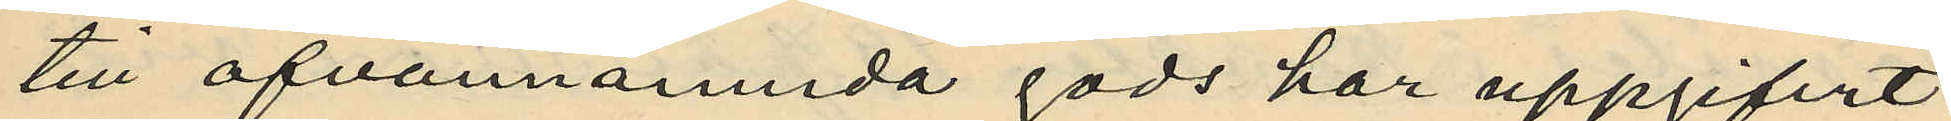till ofvannämnda gods har uppgifvit
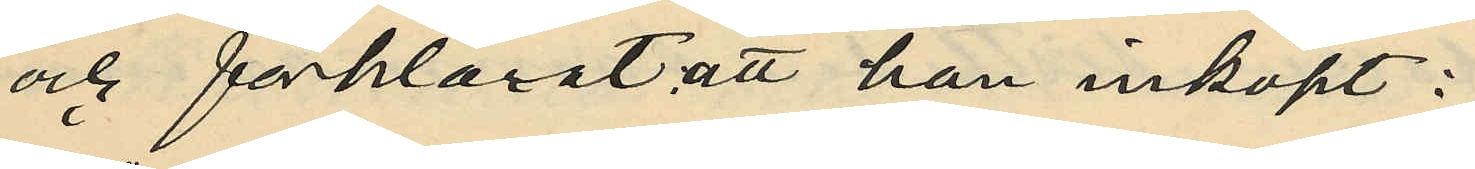och förklarat att han inköpt:
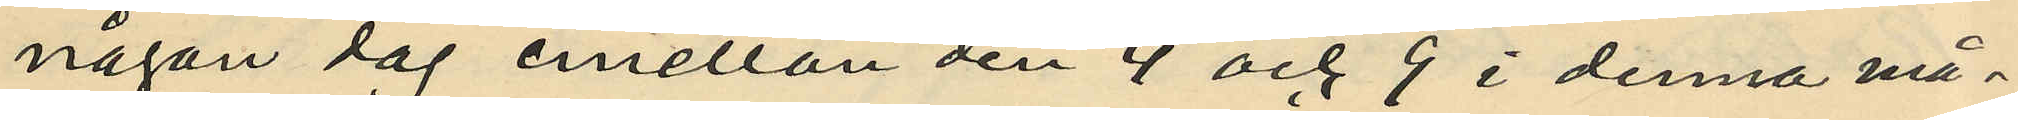någon dag emellan den 4 och 9 i denna må¬
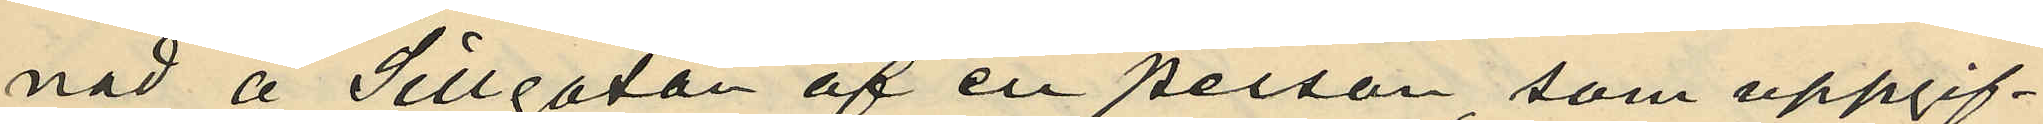nad å Sillgatan af en person, som uppgif¬
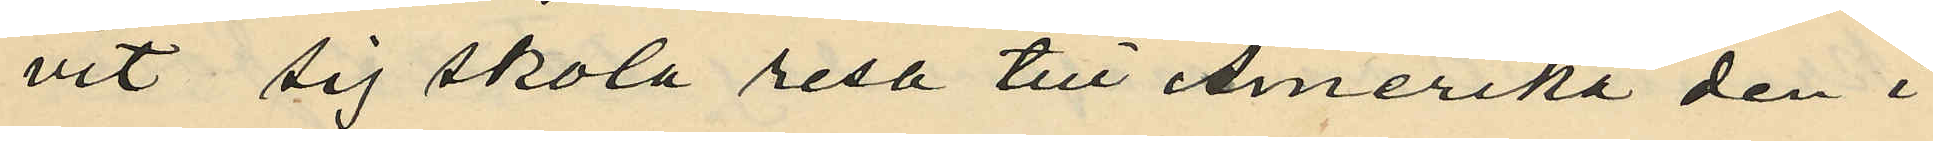vit sig skola resa till Amerika den i
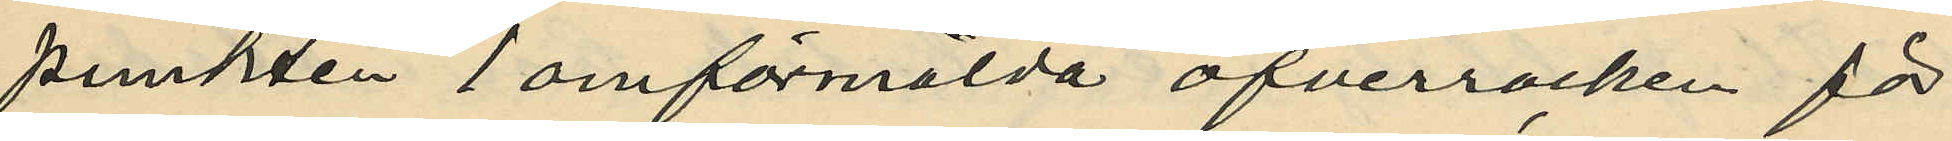punkten 1 omförmälda öfverrocken för
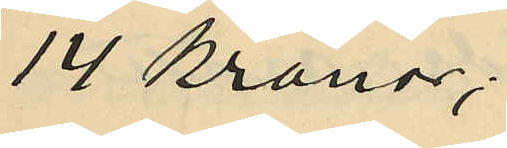14 Kronor;
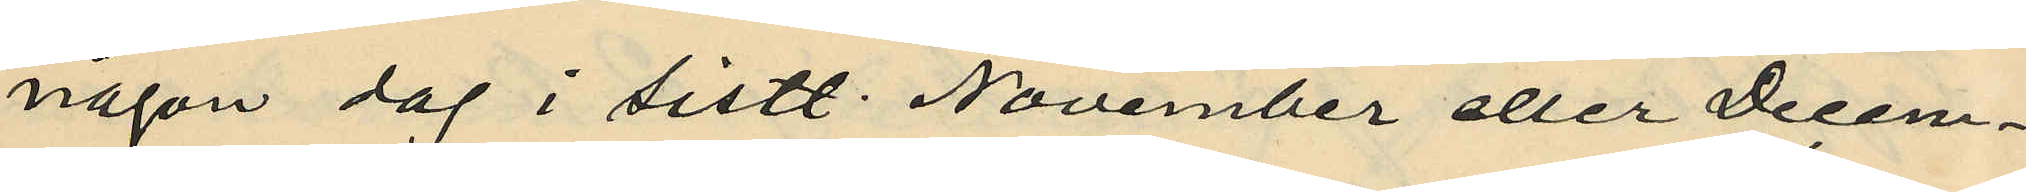någon dag i sistl. November eller Decem¬
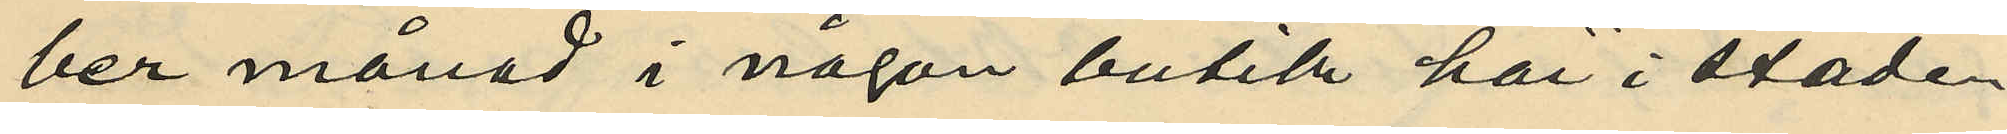ber månad i någon butik här i staden
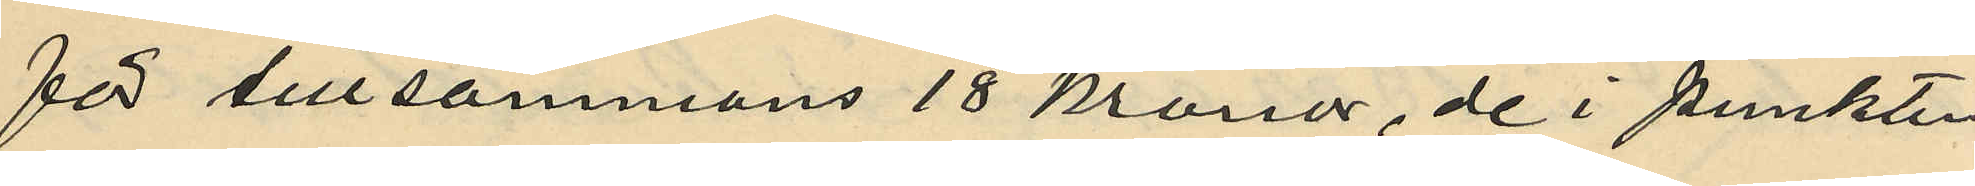för tillsammans 18 kronor, de i punkten
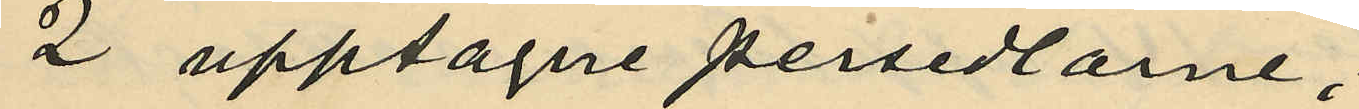2 upptagne persedlarne;
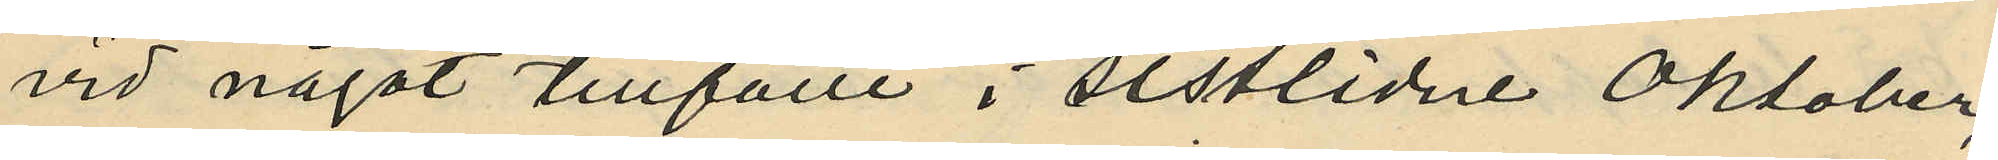vid något tillfälle i sistlidne Oktober,
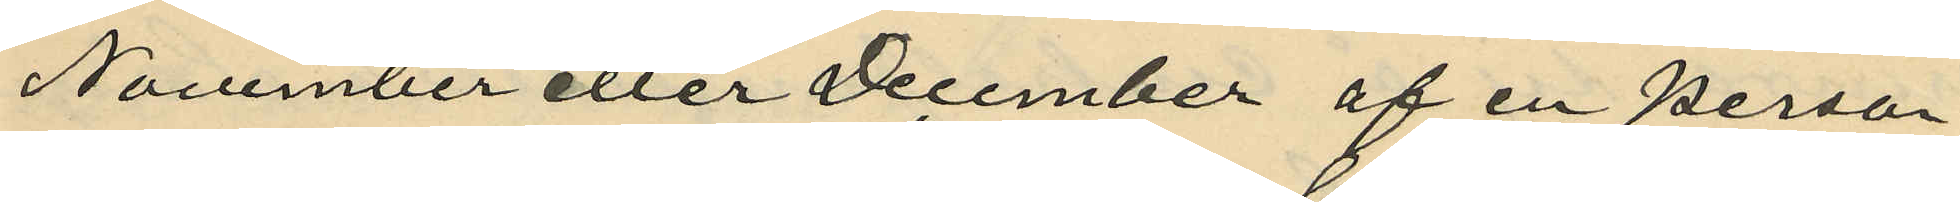November eller December af en person
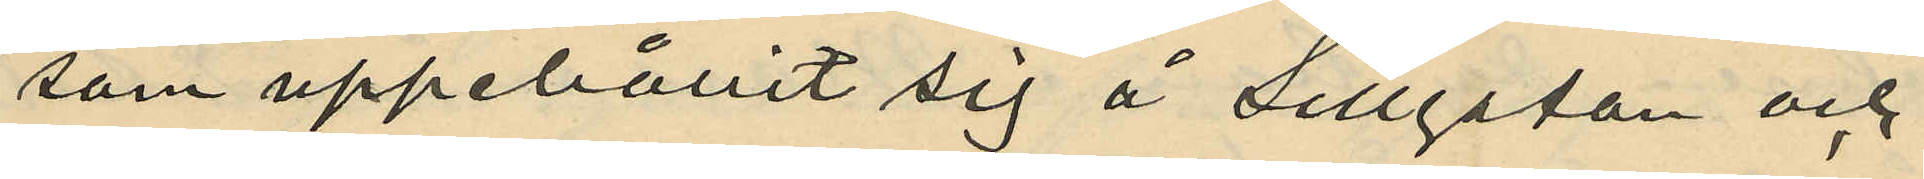som uppehållit sig å Sillgatan och
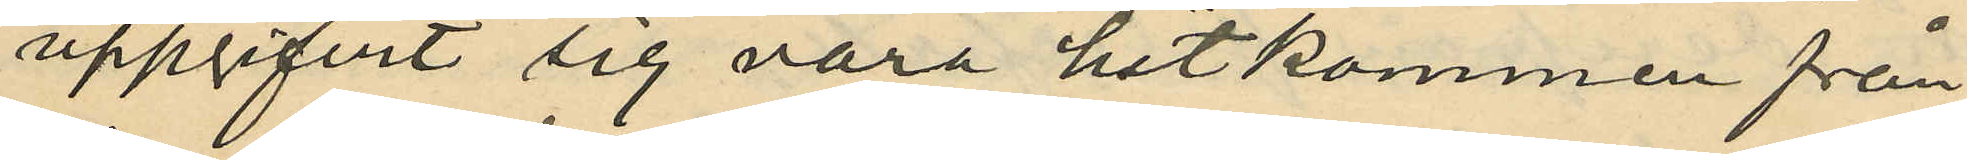uppgifvit sig vara hitkommen från
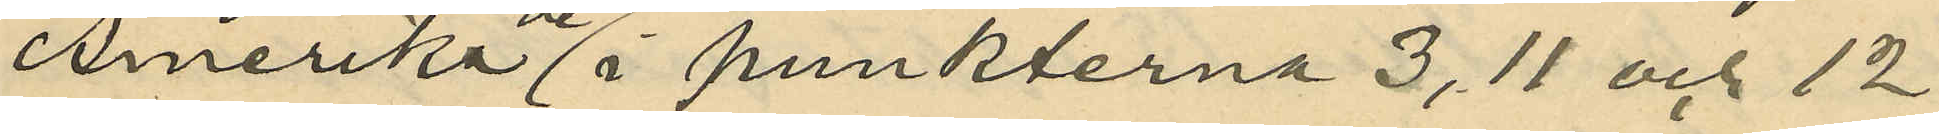Amerika de i punkterna 3, 11 och 12
